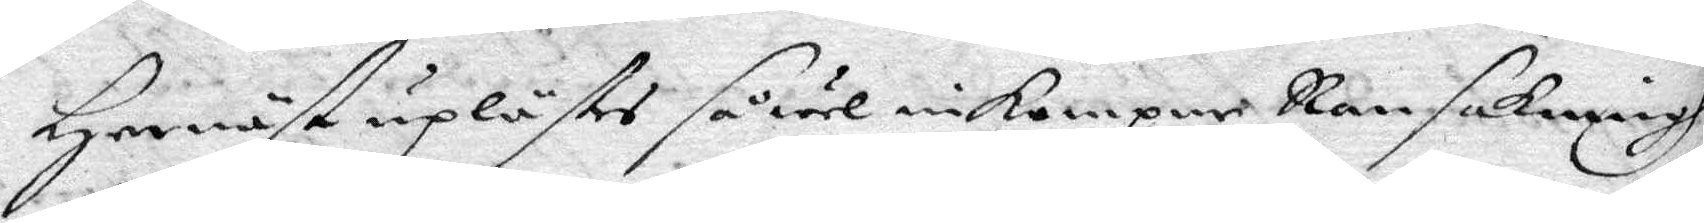Hernäst uplästes såwäl inkompne Ransakningh
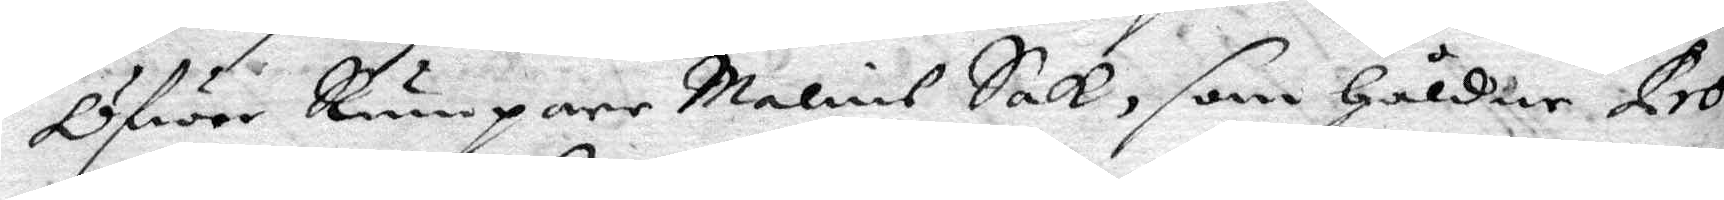Öfwer RumpareMalins Sak, som håldne Pro¬
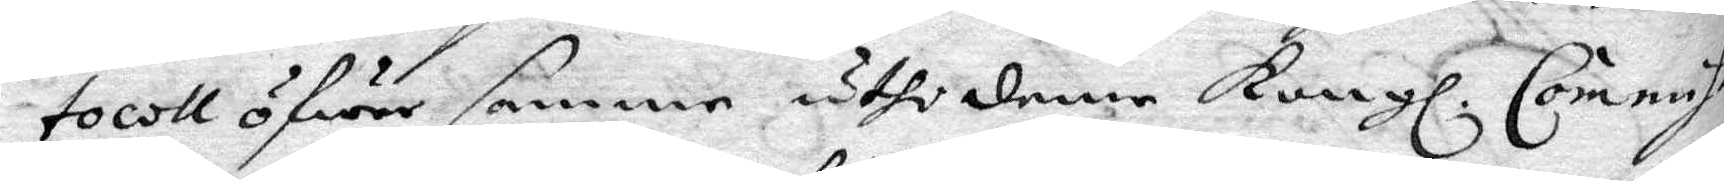tocoll öfwer samma uthi denne Kongl. Commis¬
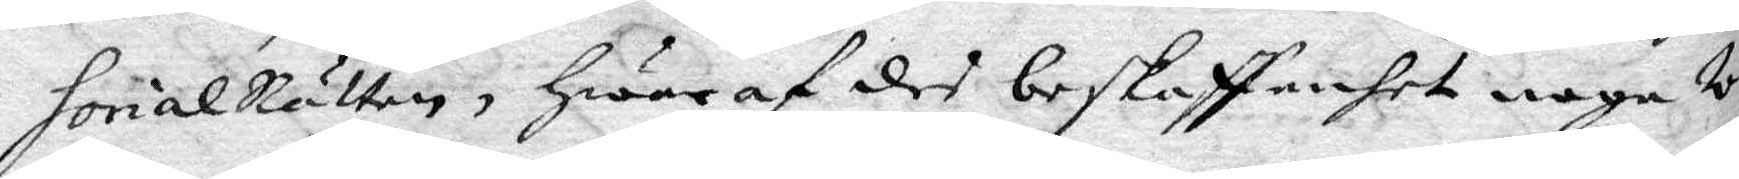sorialRätten, hwaraf des beskaffenhet noga w¬
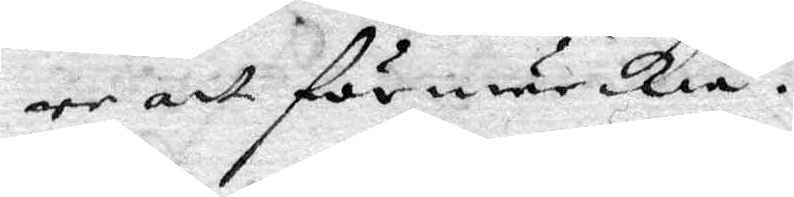ore att förmärckia.
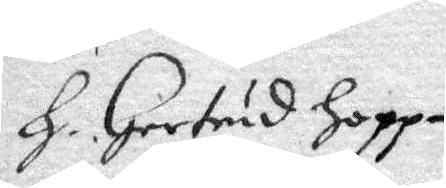H. Gertrud hopp¬
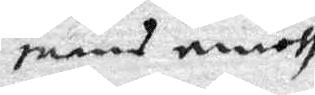mans emoth
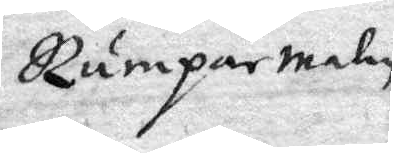Rumparemalin.
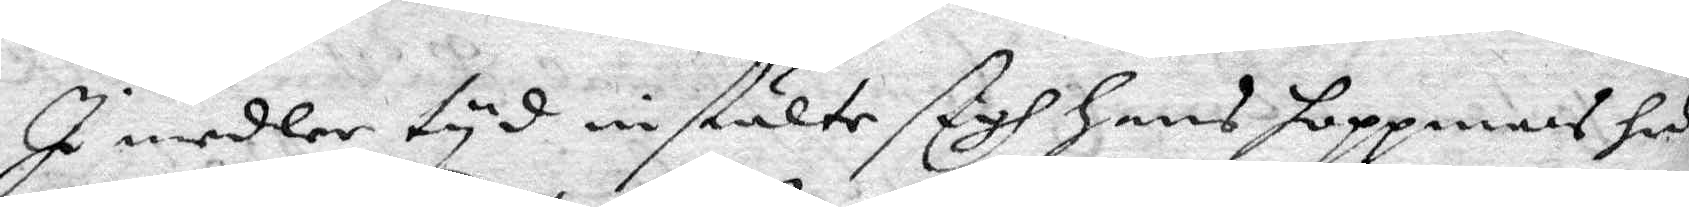I medler tyd instälte sigh hans hoppmans hu¬
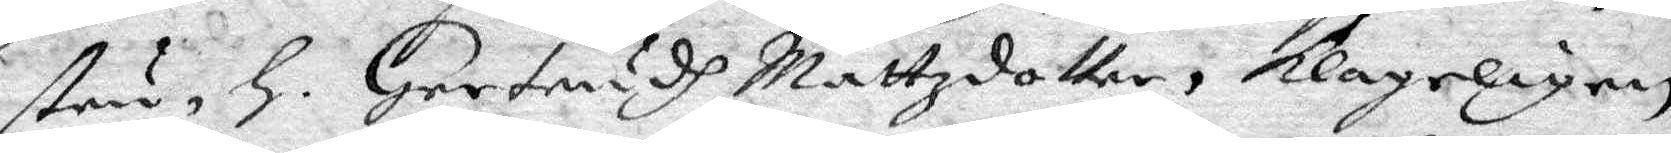stru, h. Gertrudh Mattzdotter, klageligen
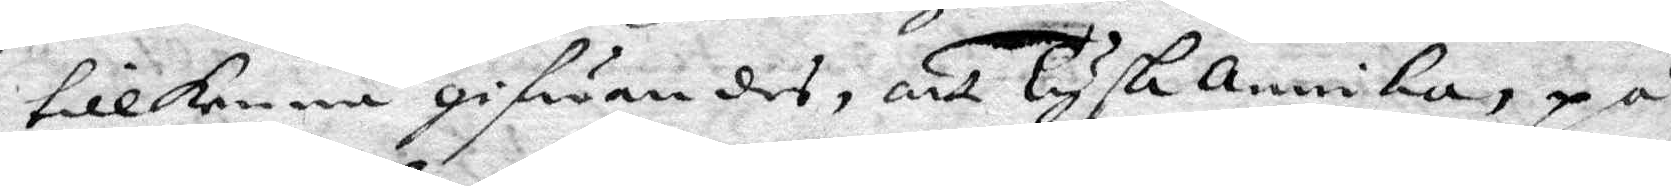tillkenna gifwandes, att Tysk Annika, på
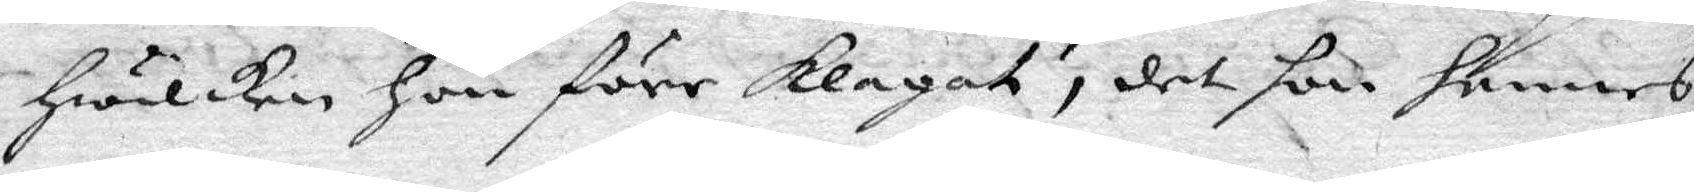hwilken hon förr klagat, det hon hennes
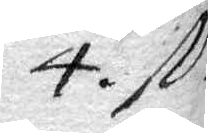4. st.n
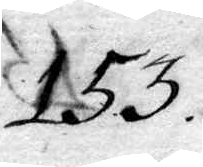153.
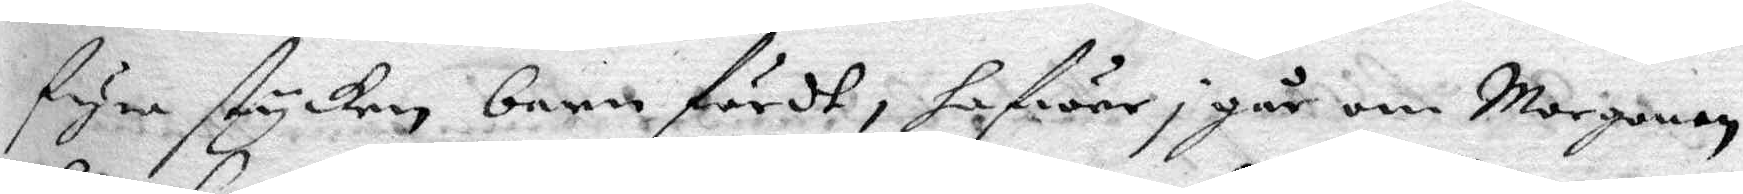fyra stycken barn fördt, hafwer i går om Morgonen
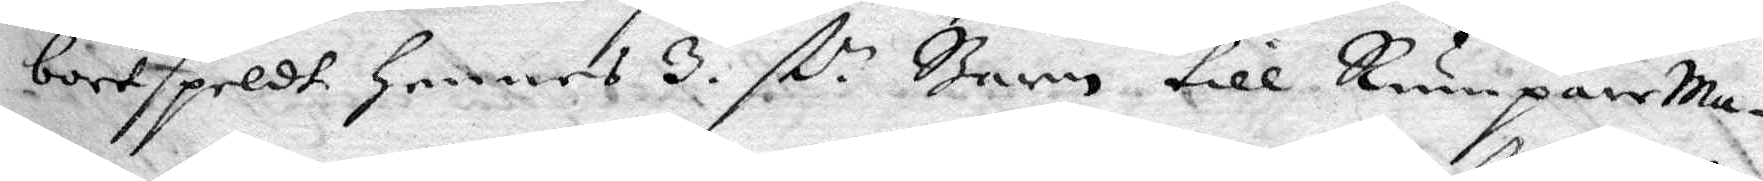bortspeldt hennes 3 st.n Barn till RumpareMa¬
